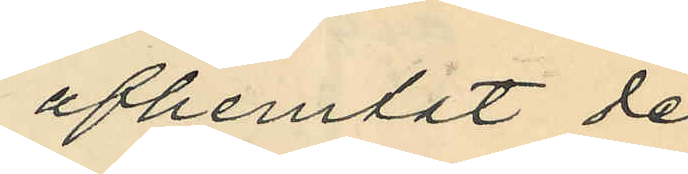afhemtat de
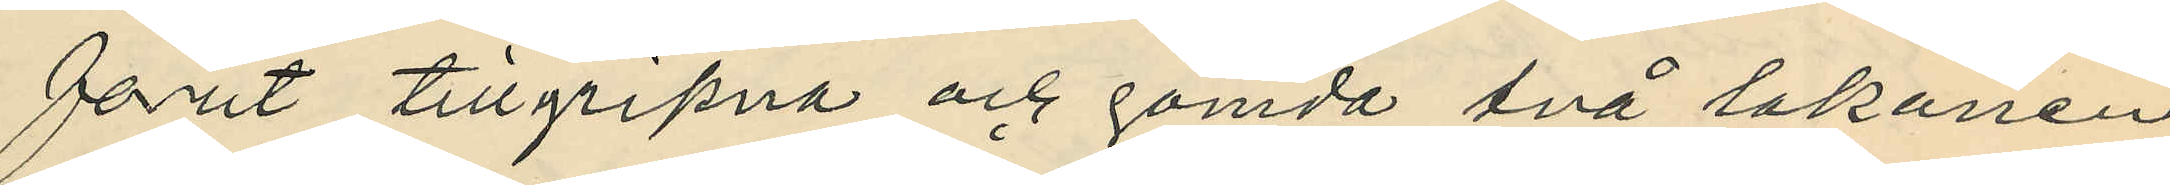förut tillgripna och gömda två lakanen
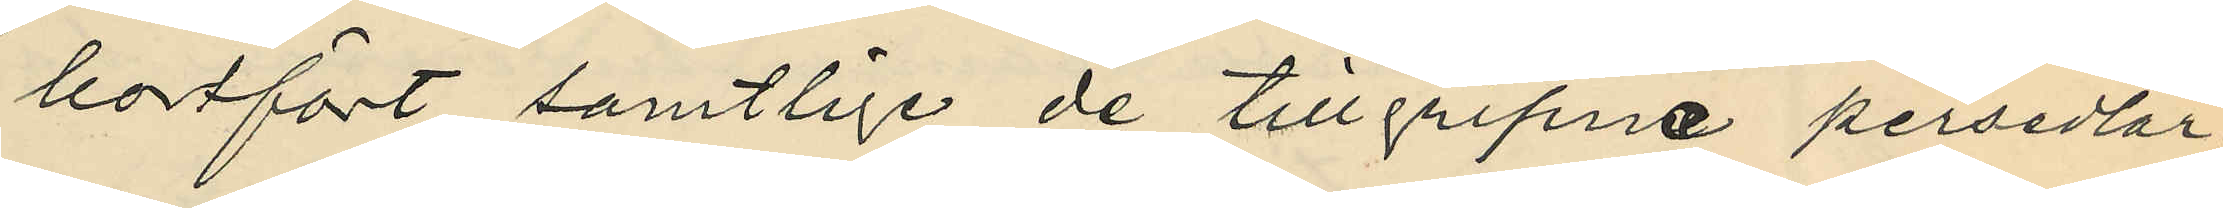bortfört samtlige de tillgripne persedlar¬
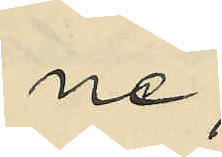ne;
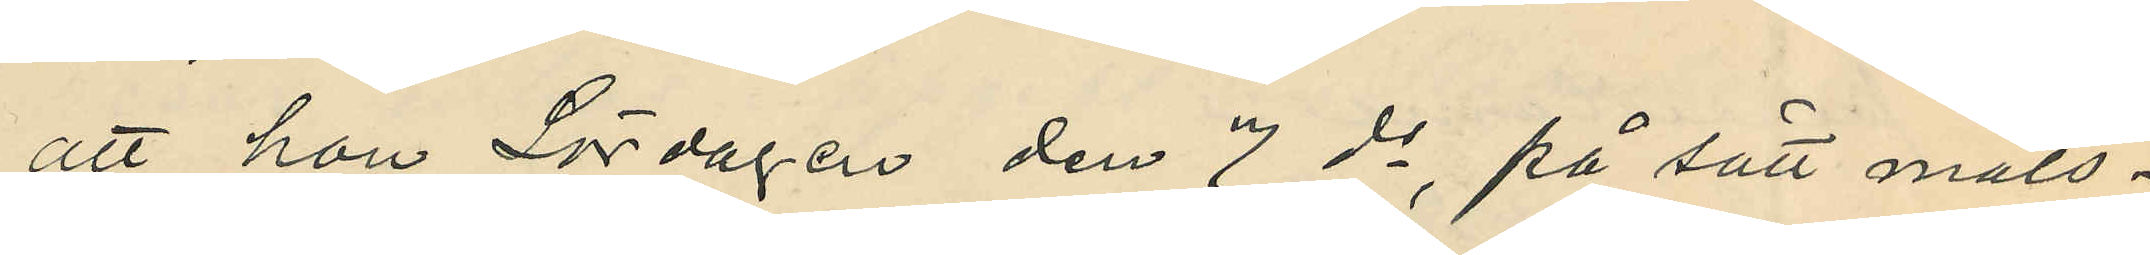att hon Lördagen den 7 ds, på sätt måls¬
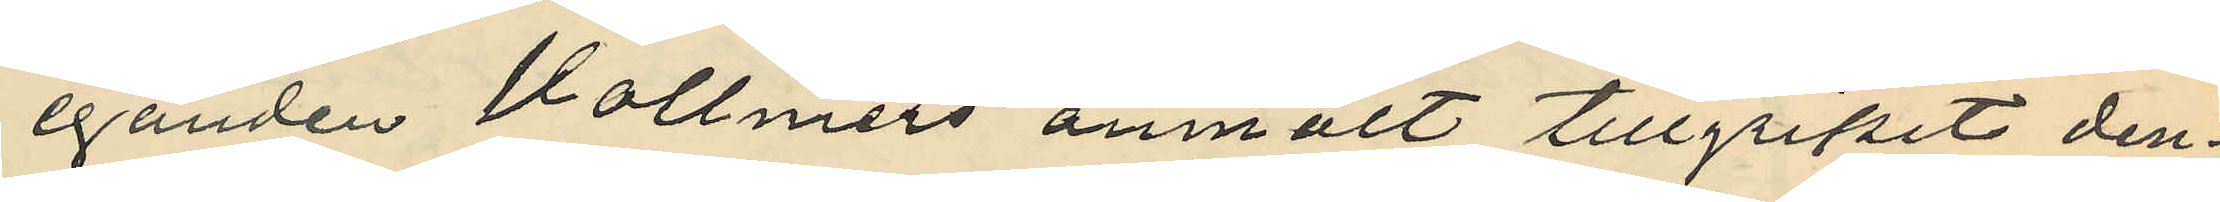eganden Vollmers anmält tillgripit den¬
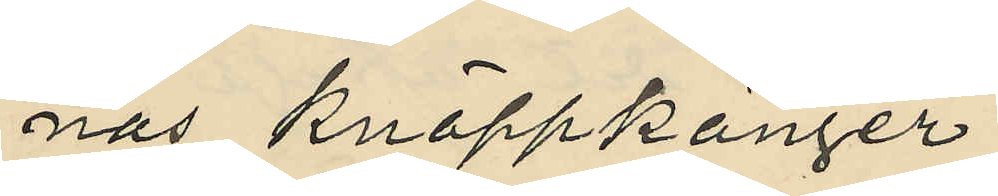nas knappkänger;
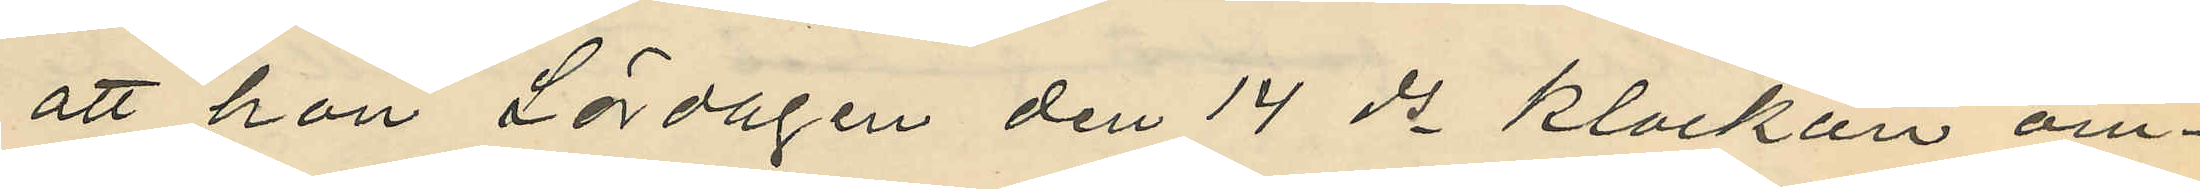att hon Lördagen den 14 ds klockan om¬
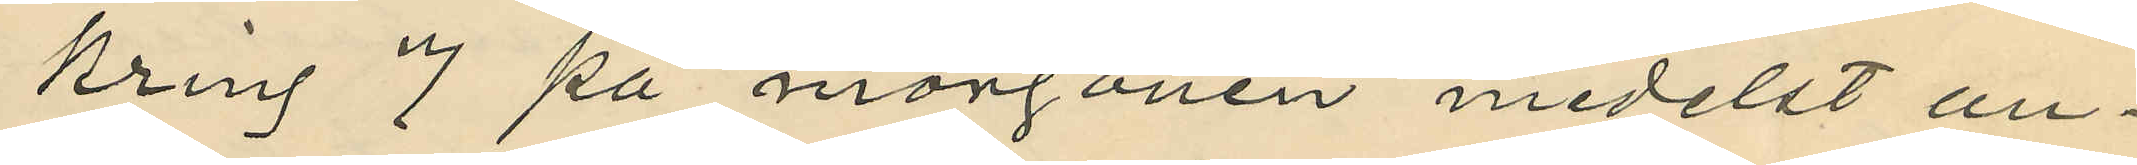kring 7 på morgonen medelst an¬
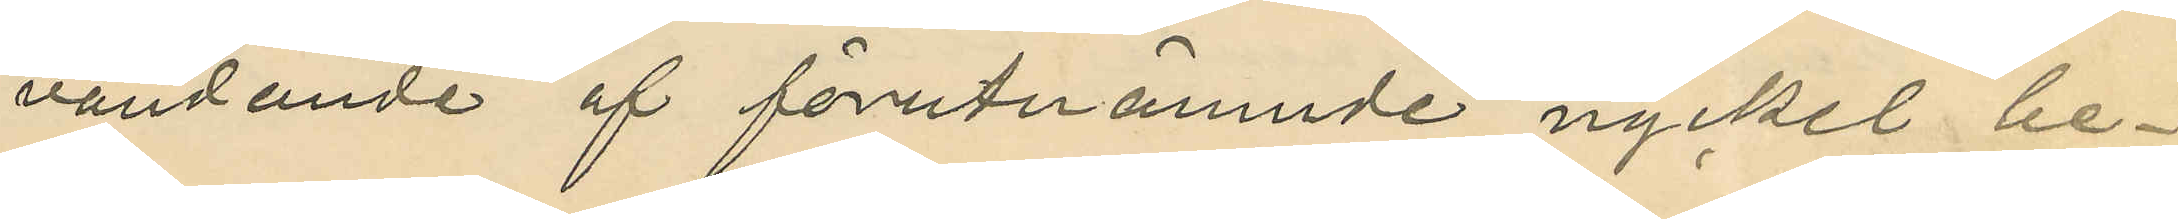vändande af förutnämnde nyckel be¬
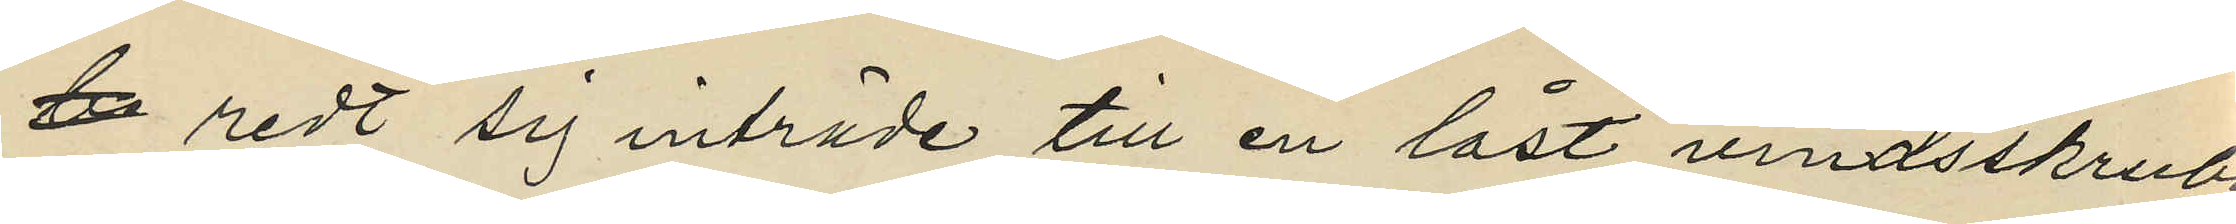redt sig inträde till en låst vindsskrubb¬
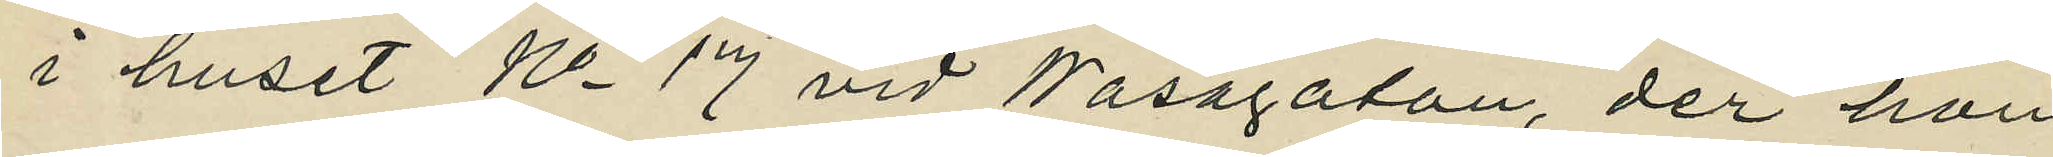i huset No 17 vid Wasagatan, der hon
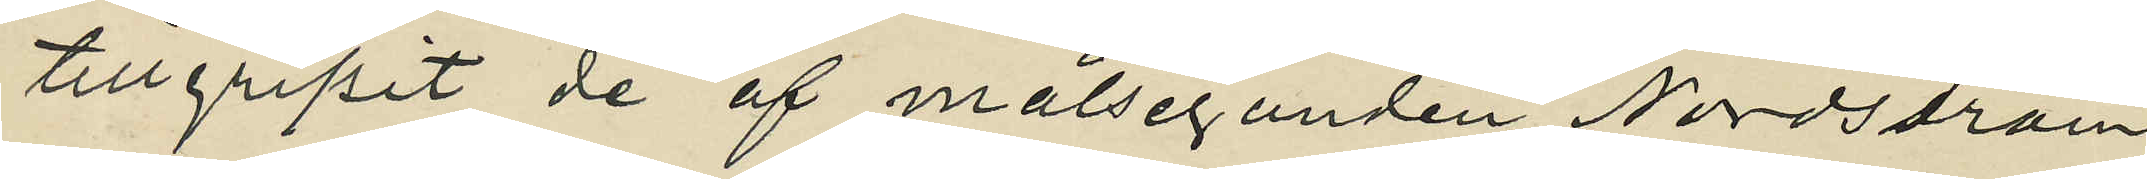tillgripit de af målseganden Nordström
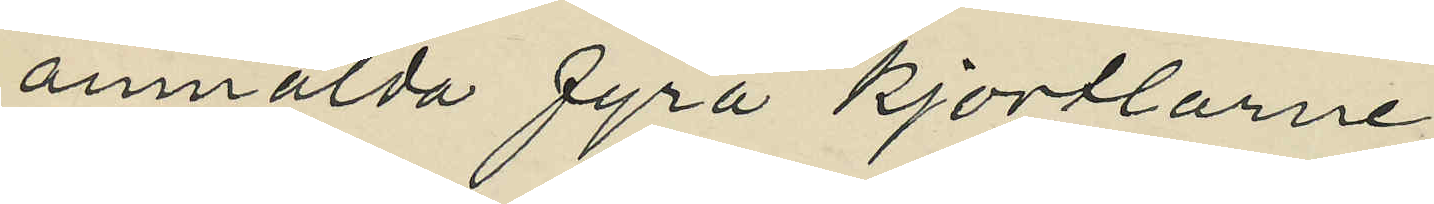anmälda fyra kjortlarne;
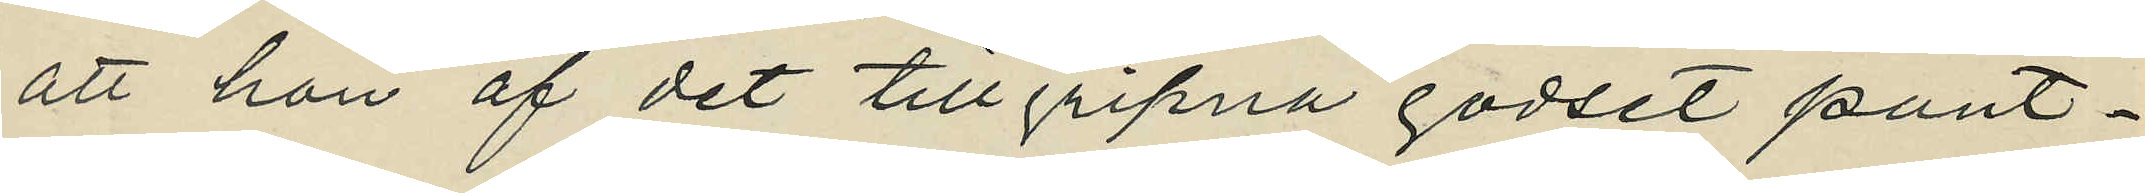att hon af det tillgripna godset pant¬
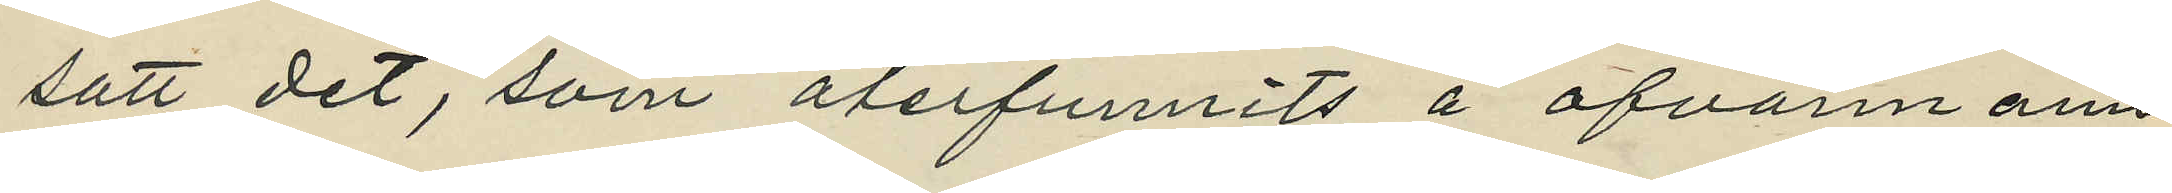satt det, som återfunnits å ofvannämn¬
